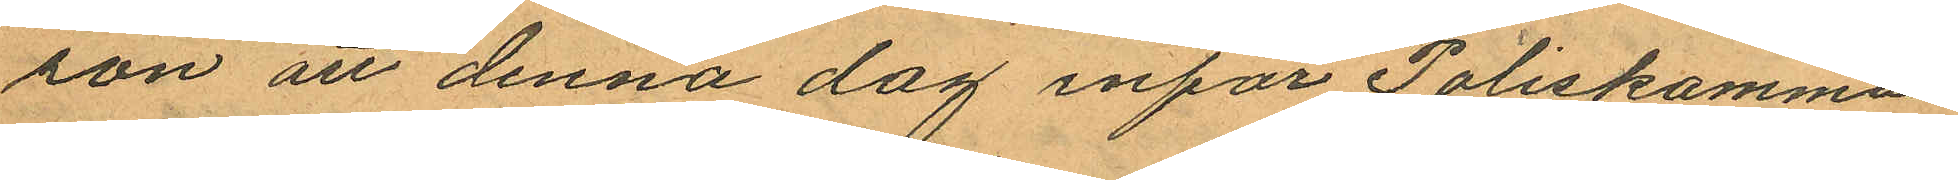son att denna dag inför Poliskamma¬
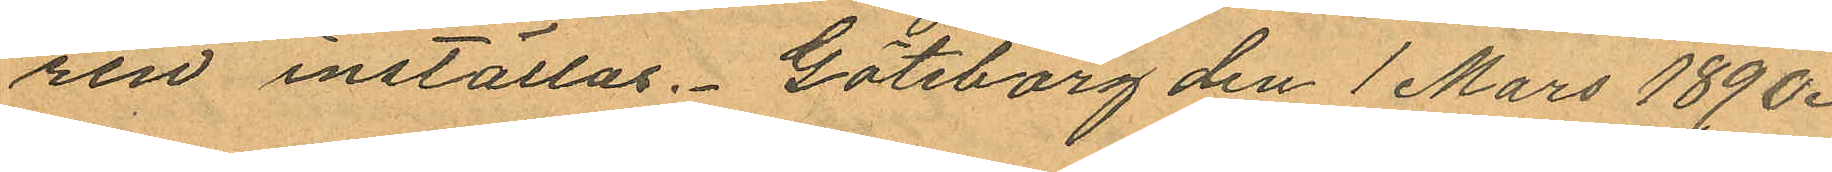ren inställas. Göteborg den 1 Mars 1890.
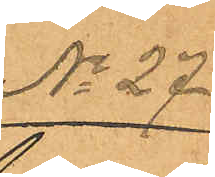¬.
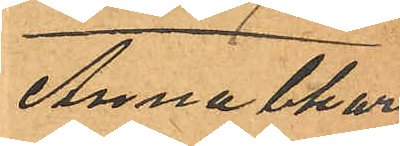Anna Char¬
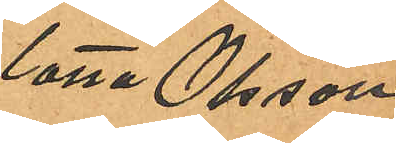lotta Olsson
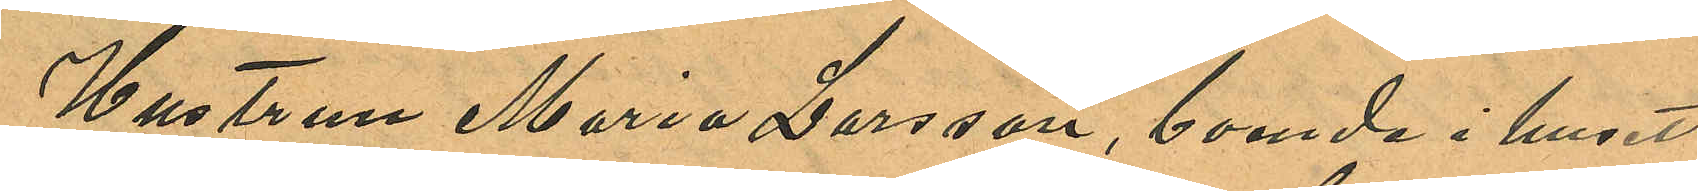Hustrun Maria Larsson, boende i huset
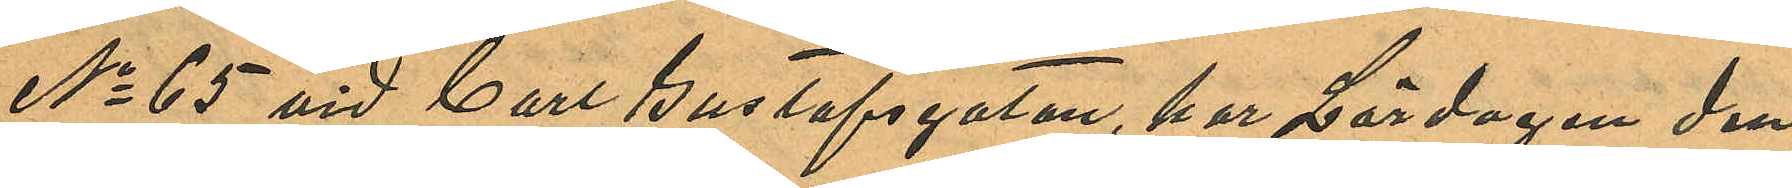No 65 vid Carl Gustafsgatan, har Lördagen den
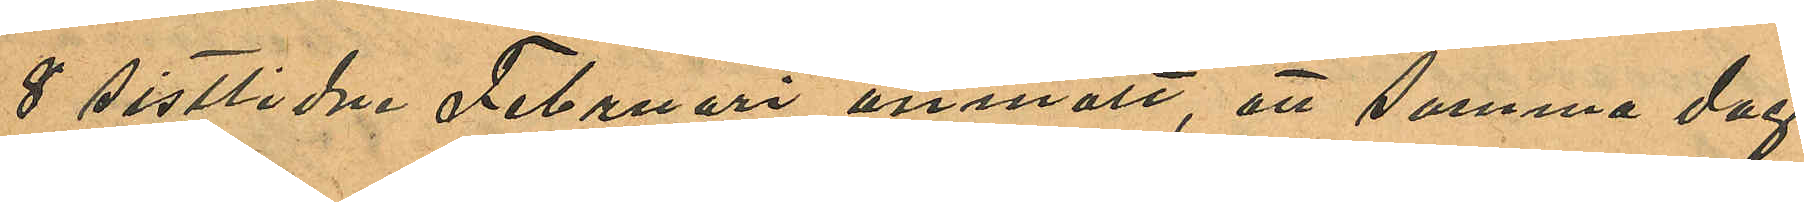8 sistlidne Februari anmält, att samma dag
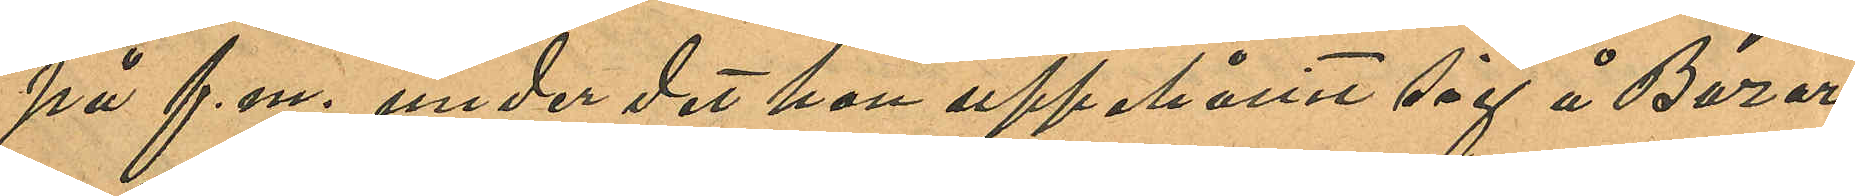på f. m. under det hon uppehållit sig å Bazar¬
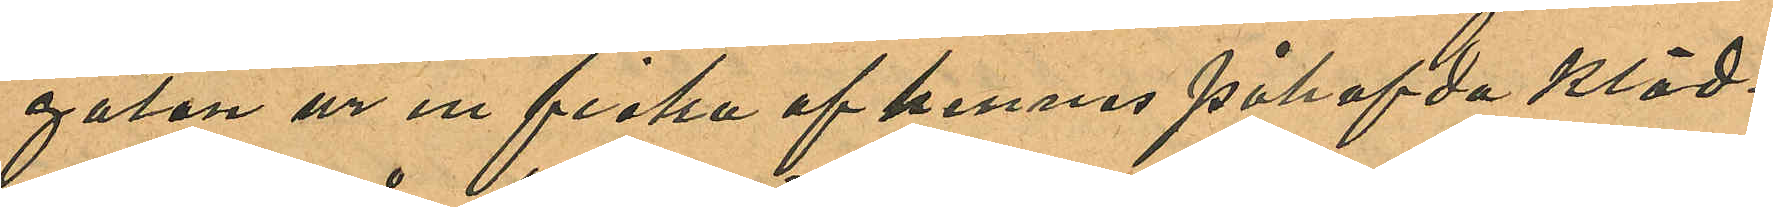gatan ur en ficka af hennes påhafvda kläd¬
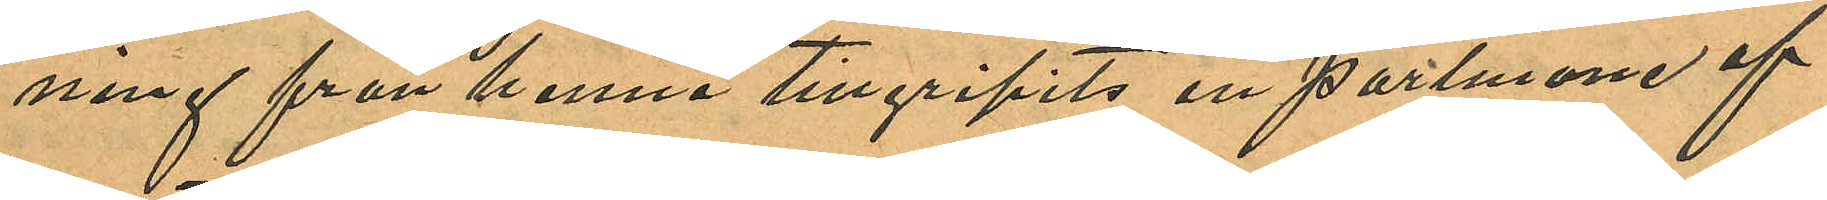ning från henne tillgripits en portmone af
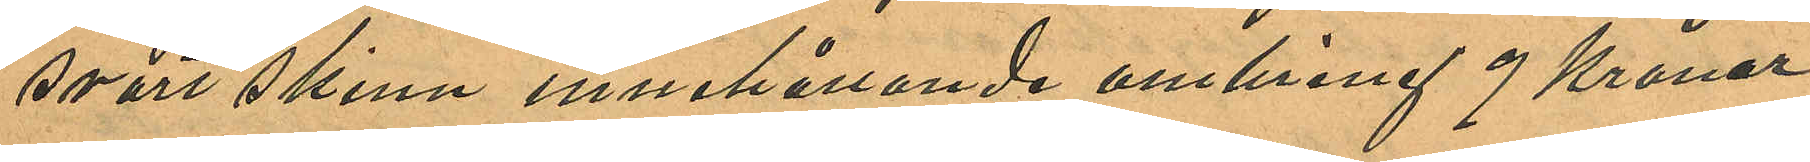svart skinn innehållande omkring 9 Kronor
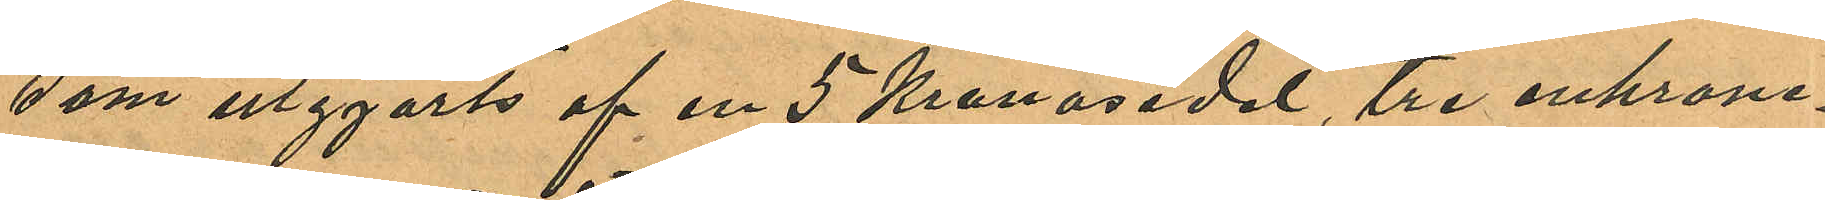som utgjorts af en 5 Kronosedel, tre enkrone¬
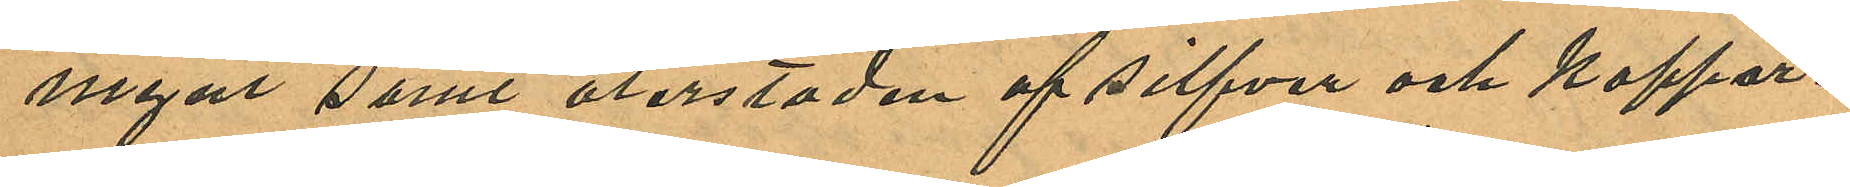mynt samt återstoden af silfver och koppar¬
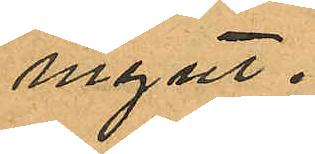mynt.
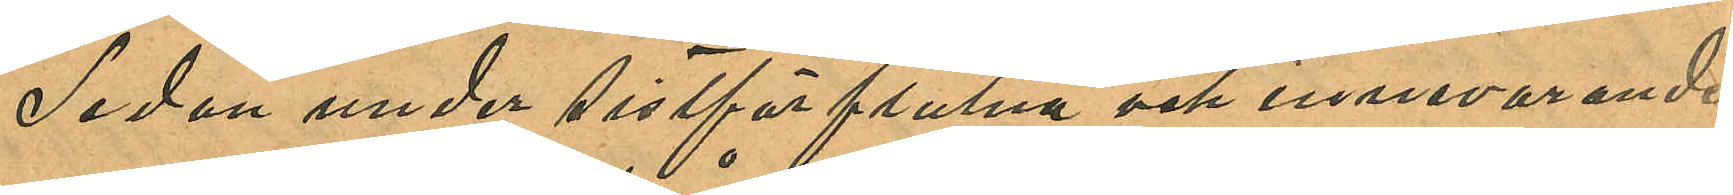Sedan under sistförflutna och innevarande
